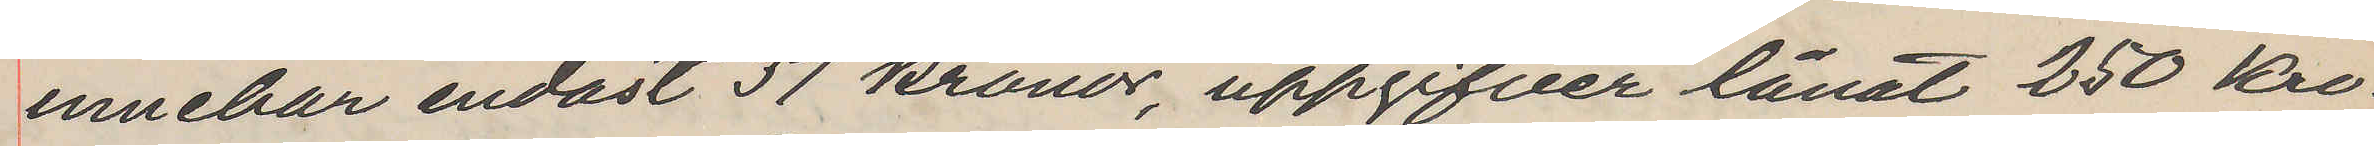innehar endast 37 kronor, uppgifver lånat 250 Kro¬
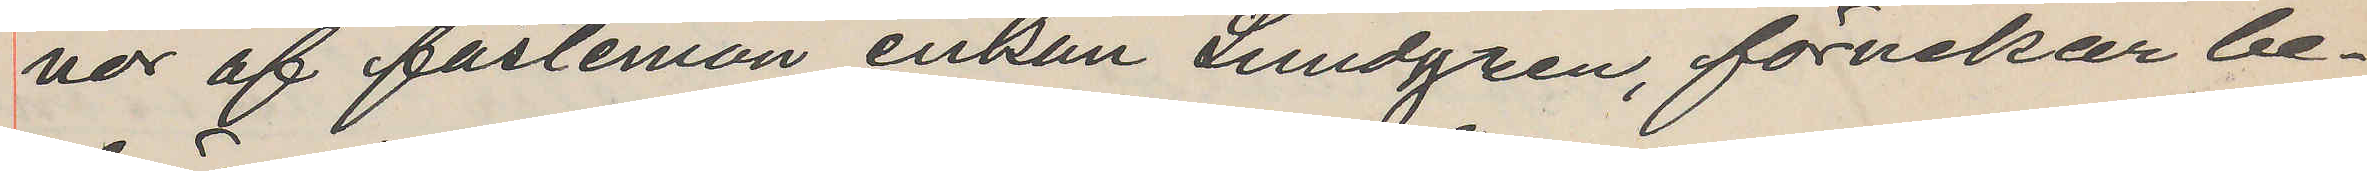nor af fästemön enkan Lundgren, förnekar be¬
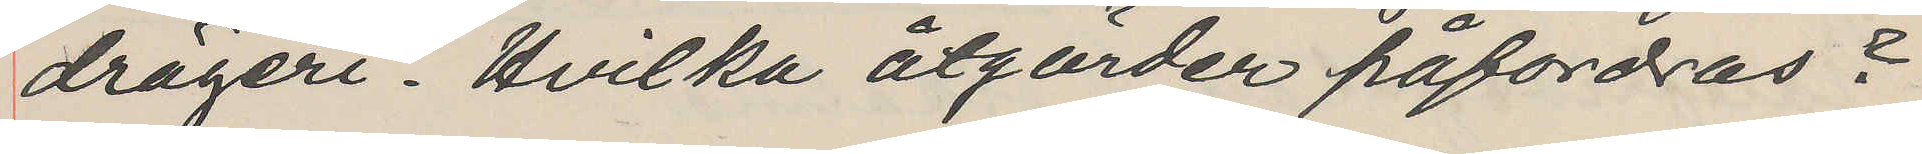drägeri. Hvilka åtgärder påfordras?
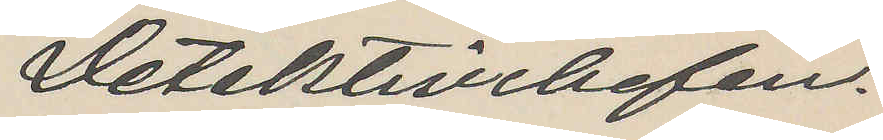Detektivchefen.
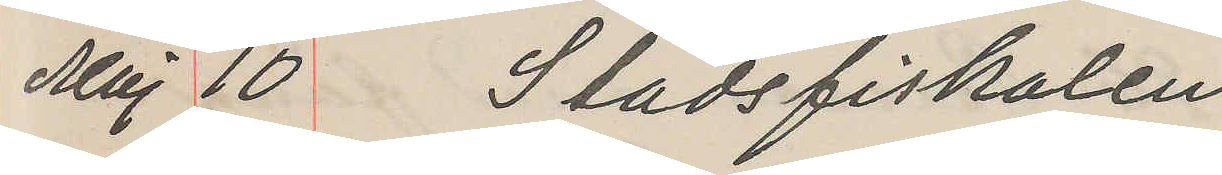Maj 10 Stadsfiskalen
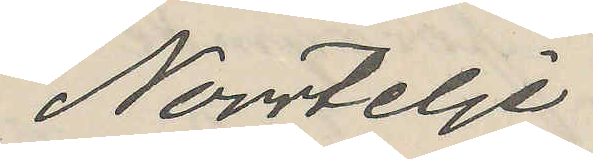Norrtelje
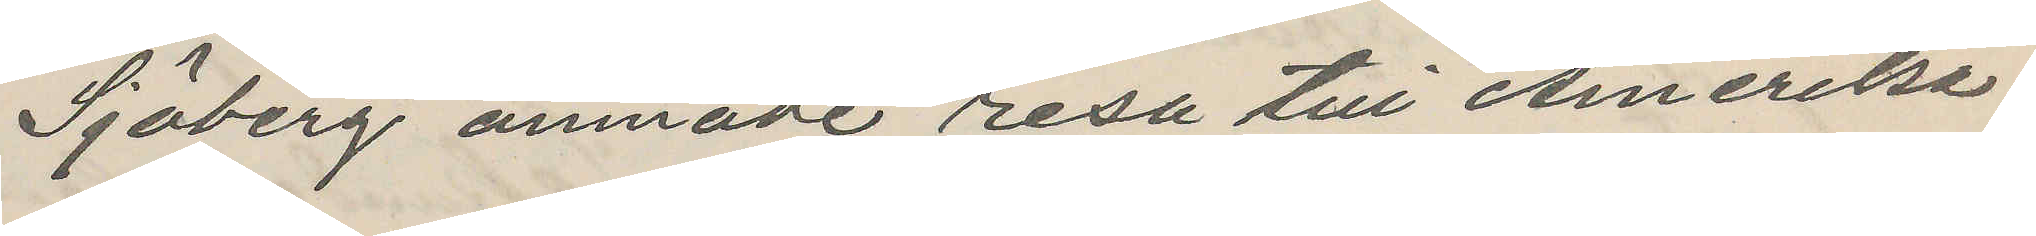Sjöberg ämnade resa til Amerika.
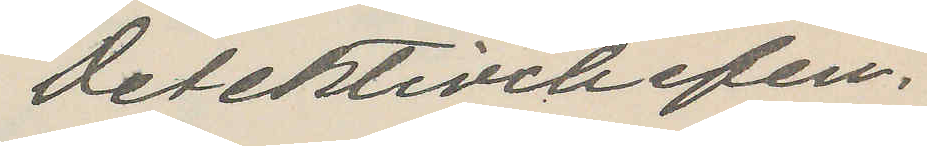Detektivchefen.
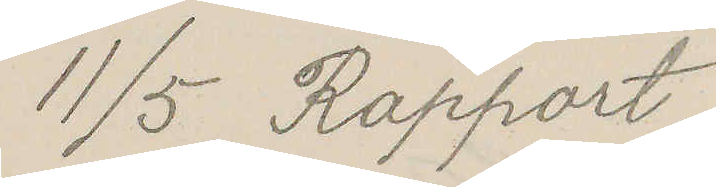11/5 Rapport
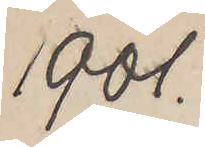1901.
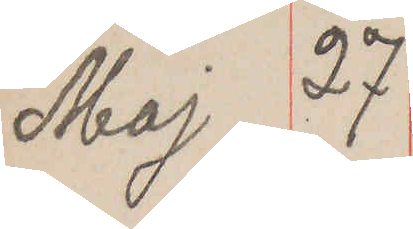Maj 27
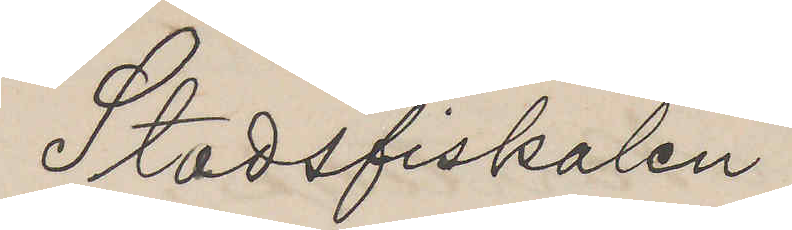Stadsfiskalen
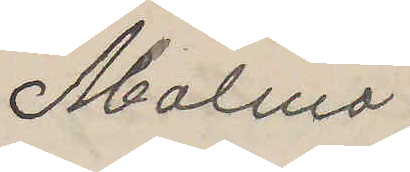Malmö
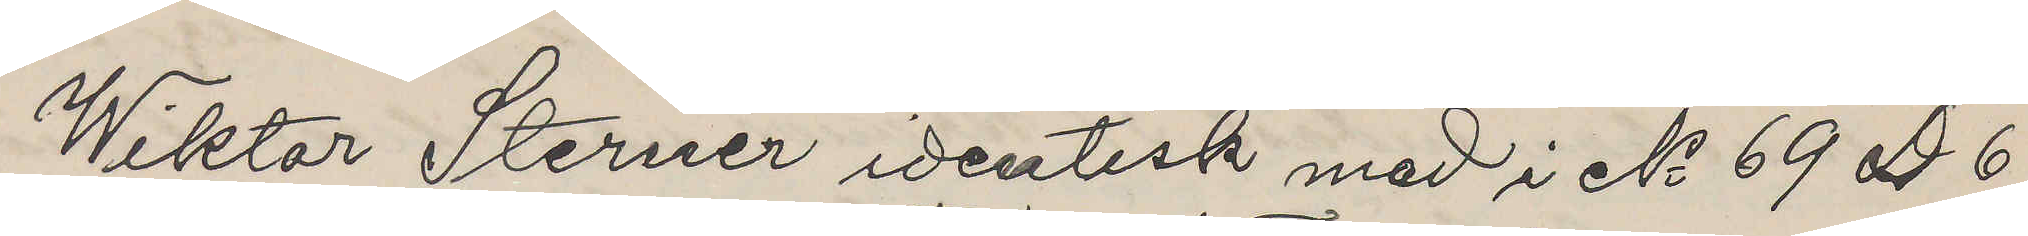Wiktor Sterner identisk med i No 69 D 6
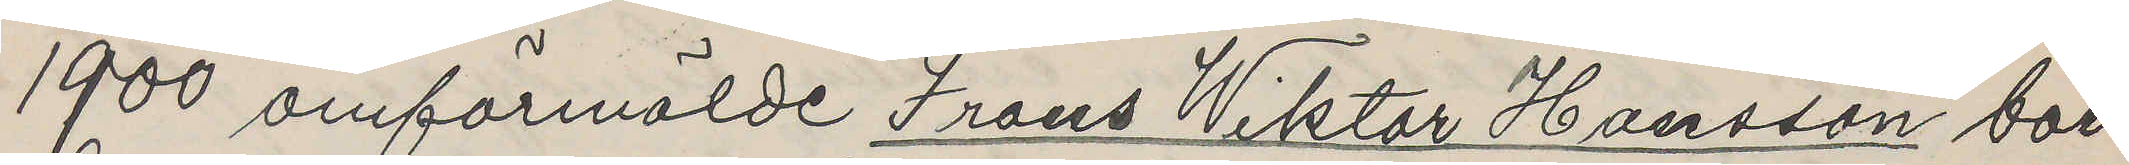1900 omförmälde Frans Viktor Hansson bor
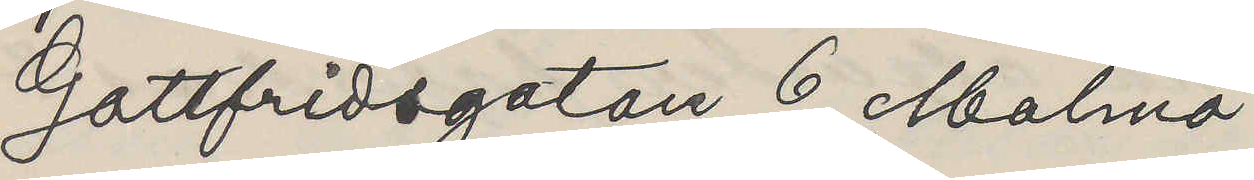Gottfridsgatan 6 Malmö
